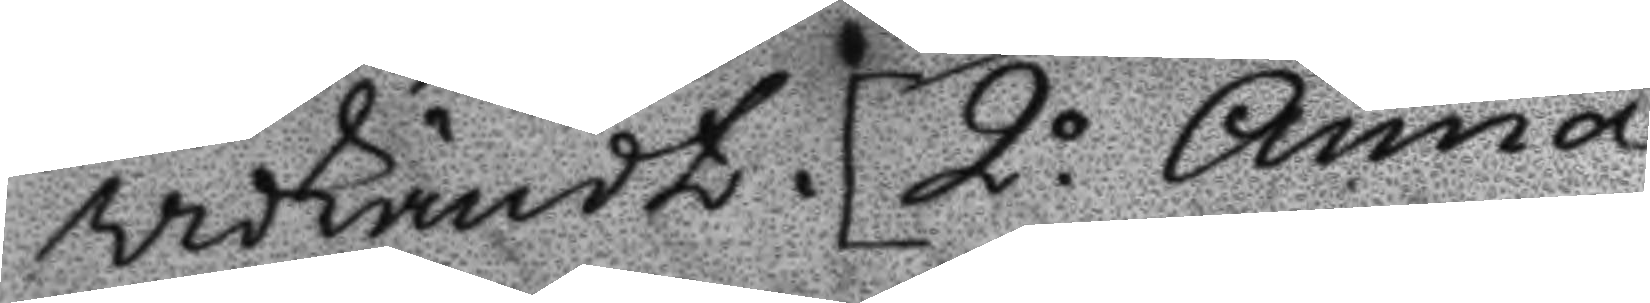widkändt. 2o Anna
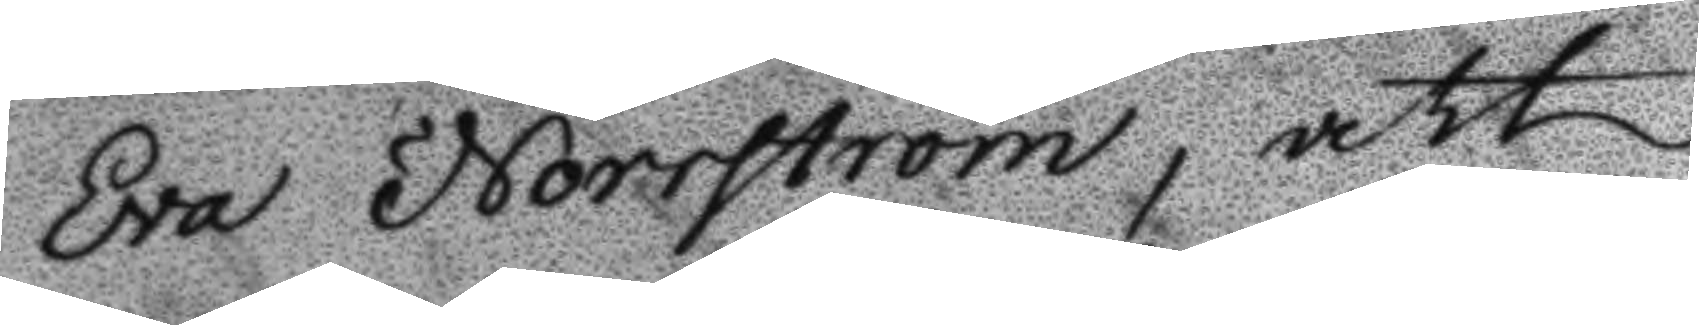Eva Norström, att
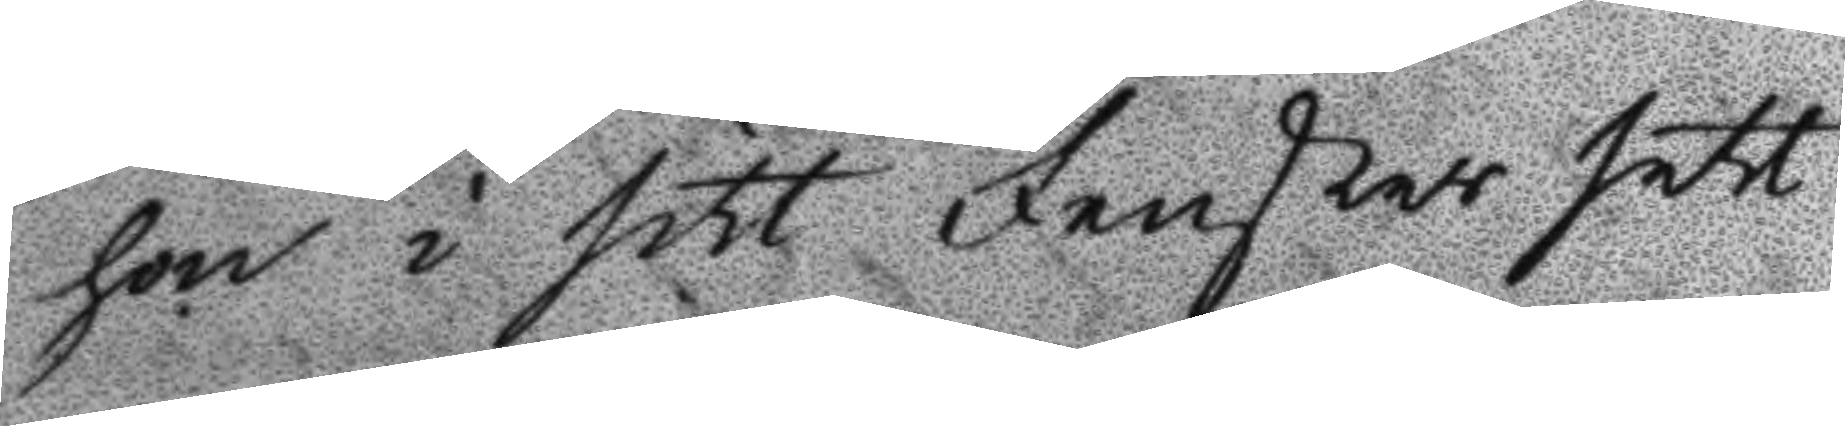hon i sitt Fenster sett
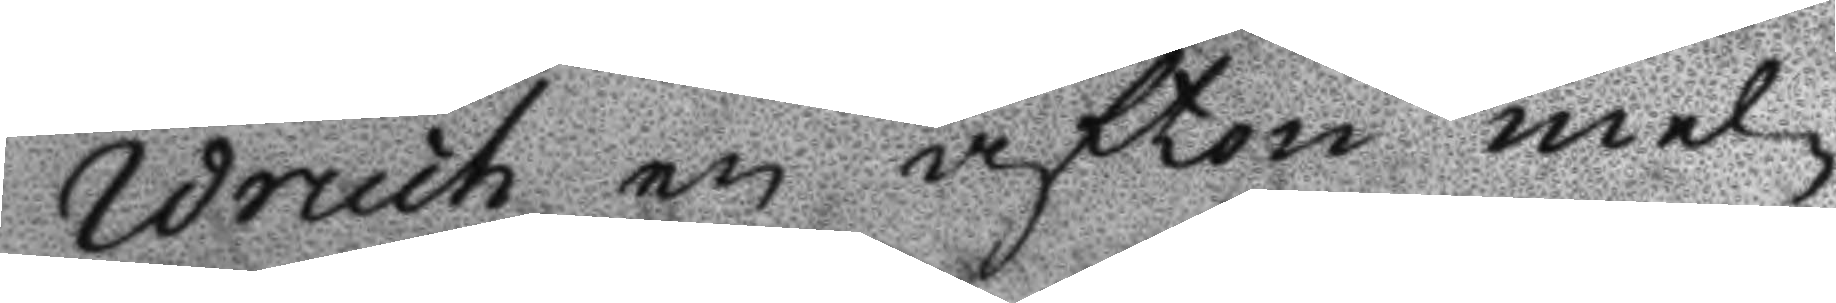Wruch en afton mel¬
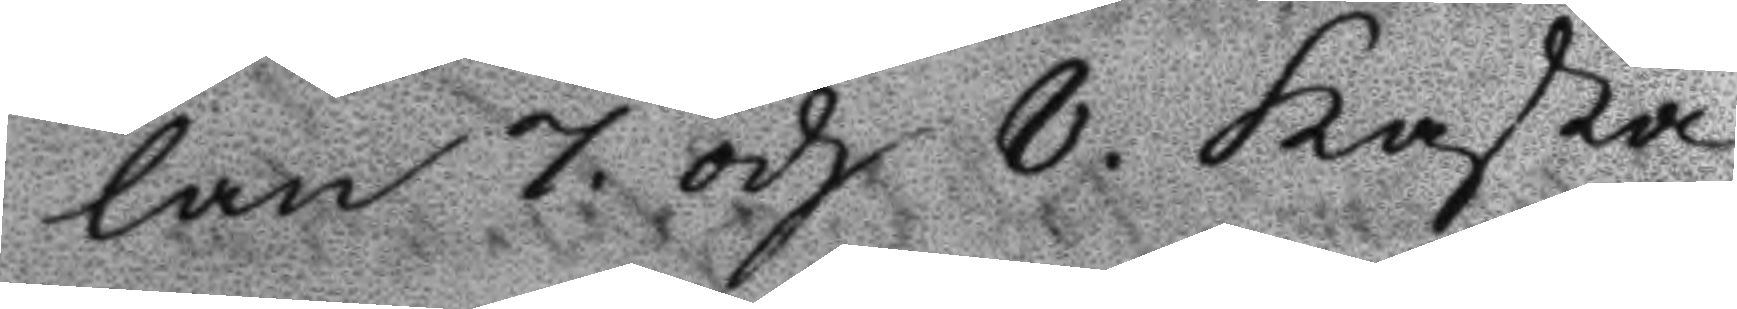lan 7. och 8. kasta
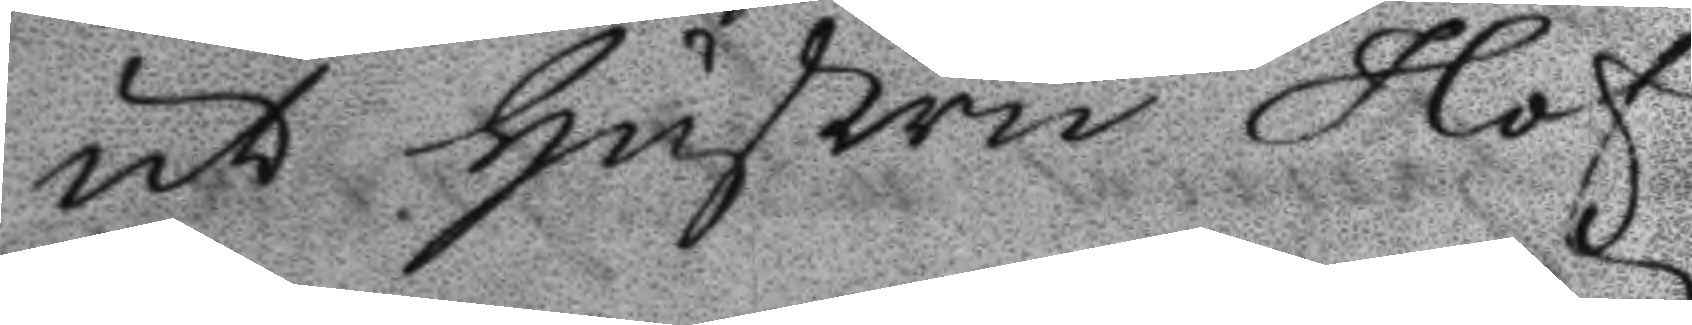ut hustru Hof¬
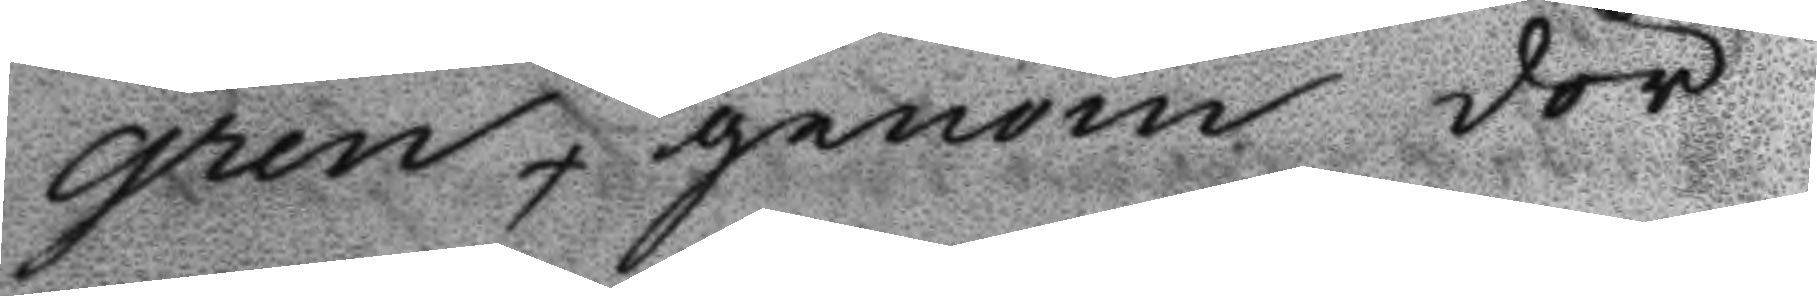gren genom dör¬
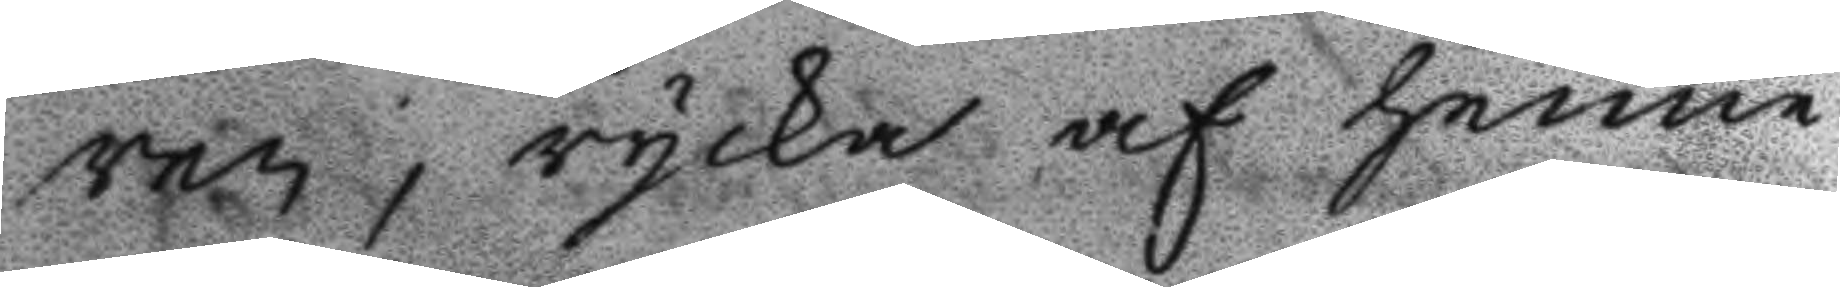ren, rycka af henne
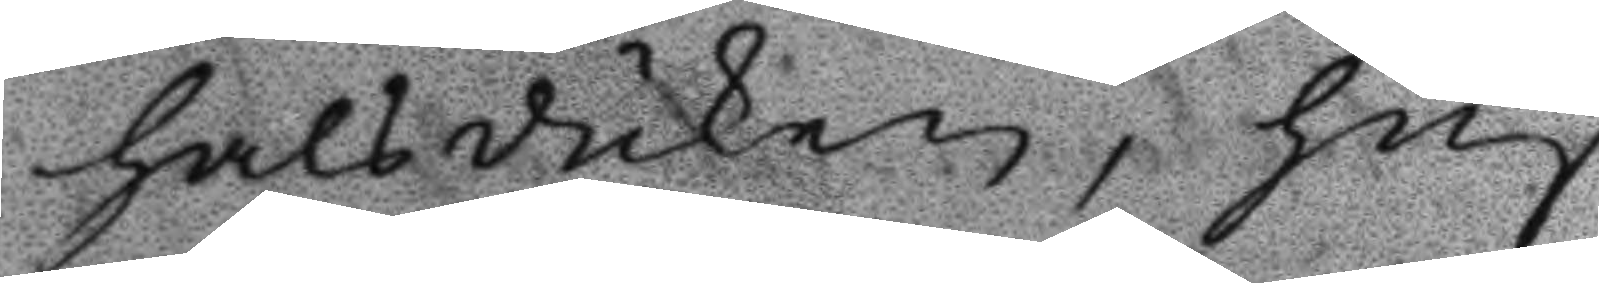halsduken, huf¬
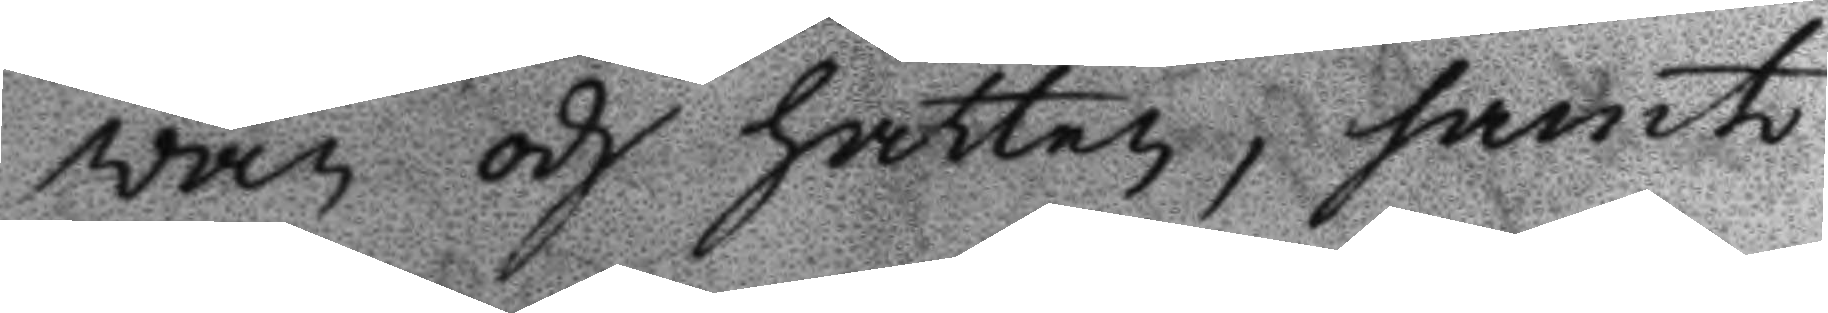wan och hättan, samt
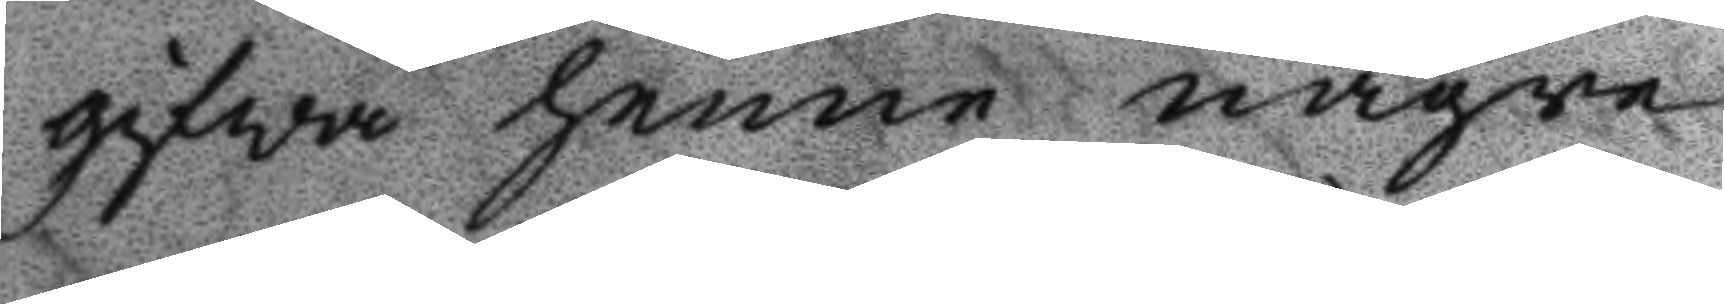gifwa henne någre
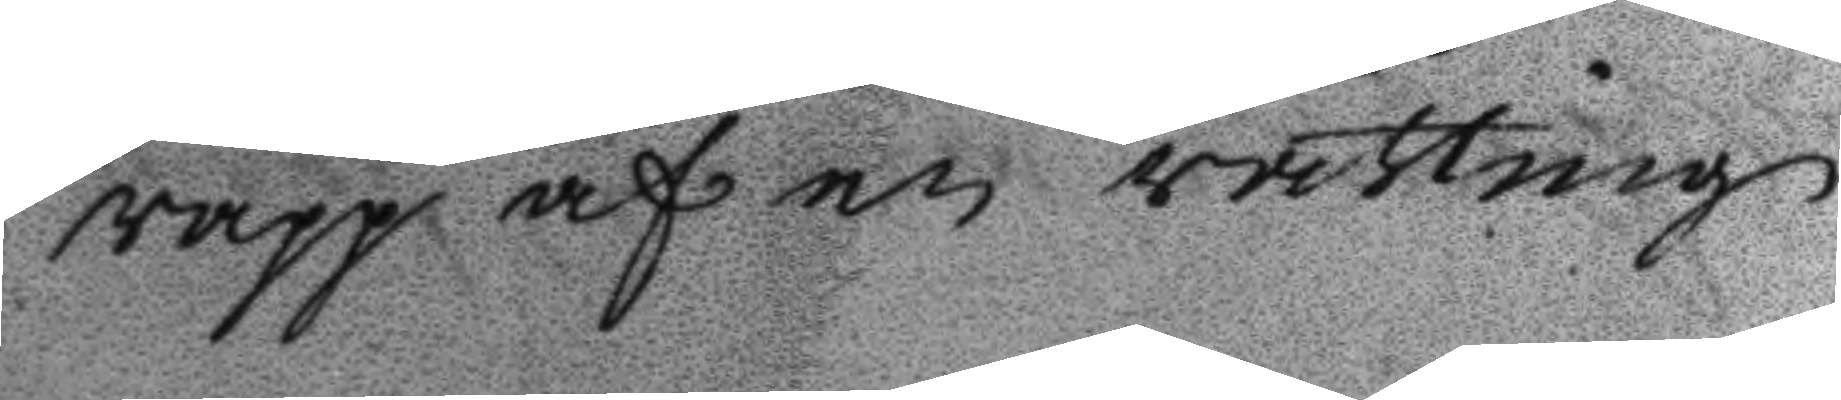rapp af en råtting
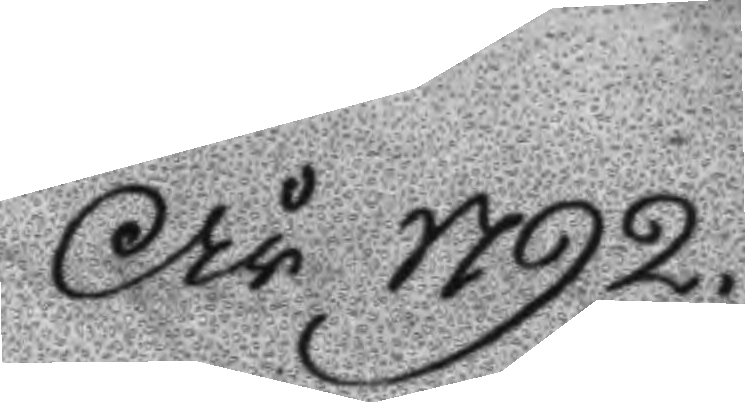År 1792.
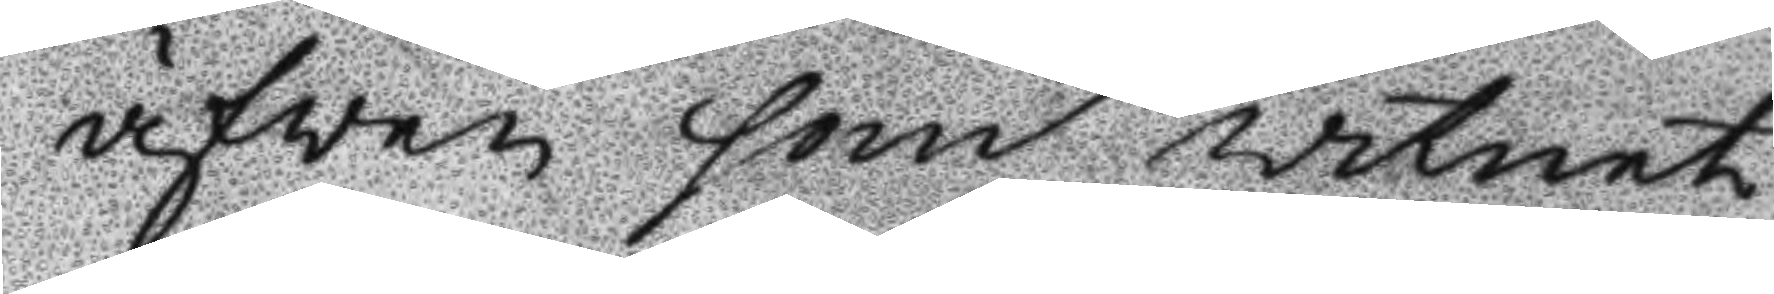äfwen som witnet
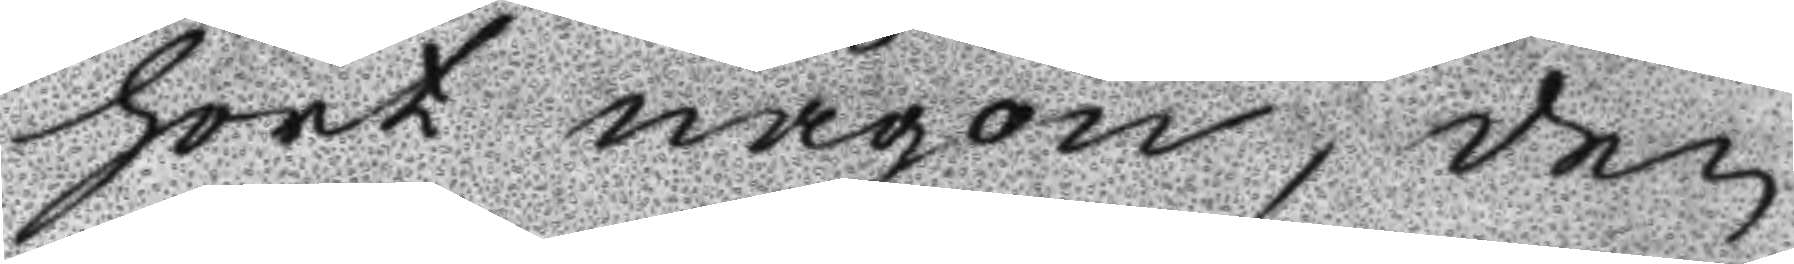hört någon, den
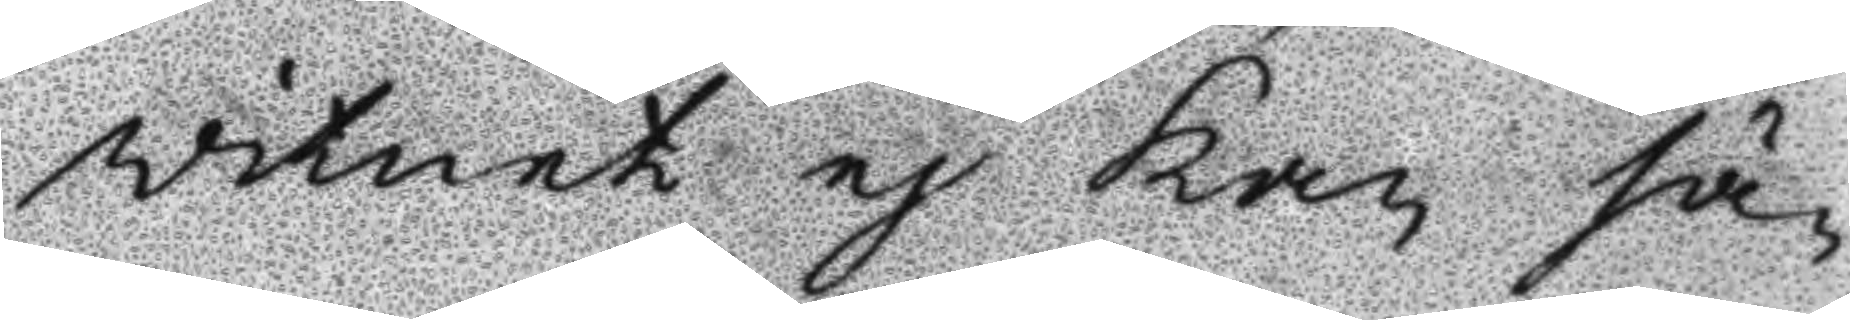witnet ej kan sä¬
